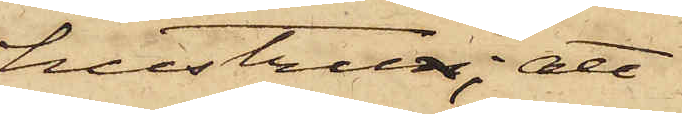hustrun; att
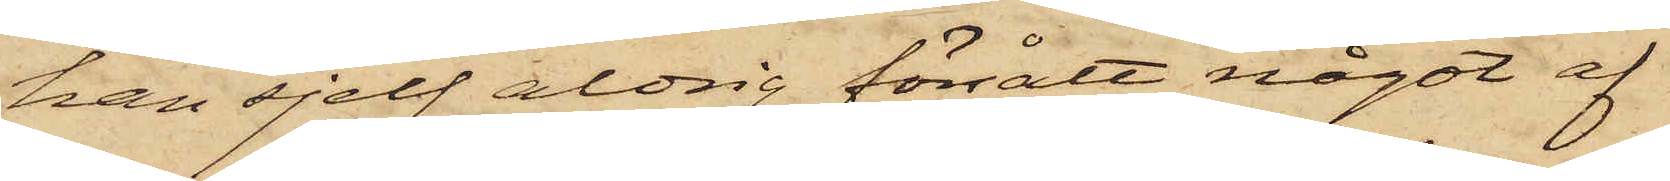han sjelf aldrig försålt något af
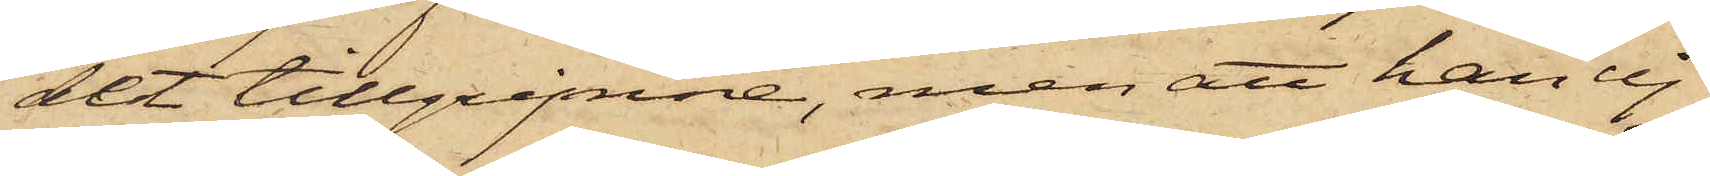det tillgripne, men att han ej
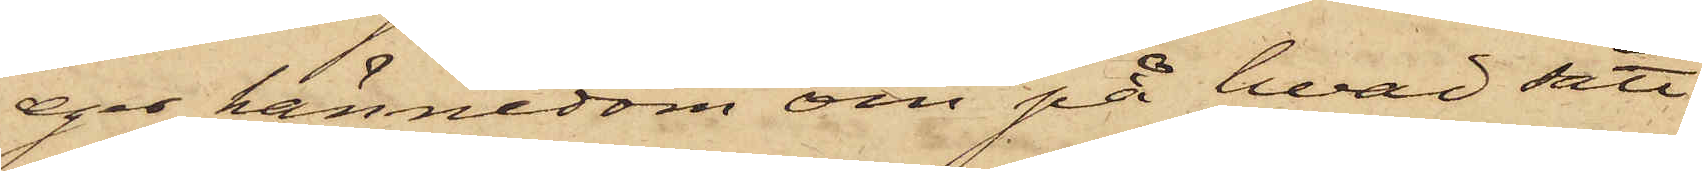eger kännedom om på hvad sätt
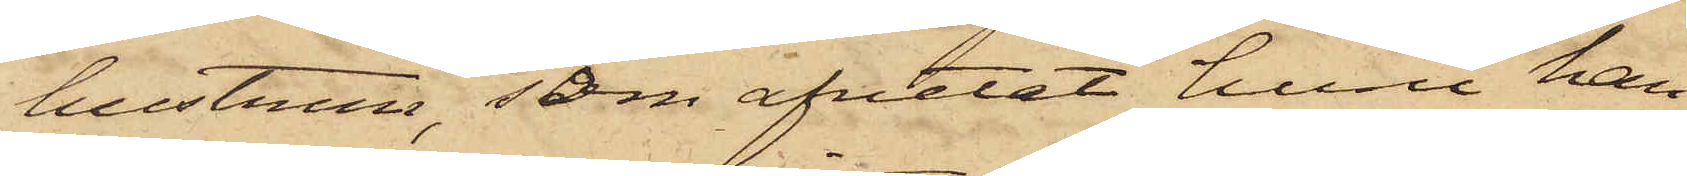hustrun, som afvetat huru han
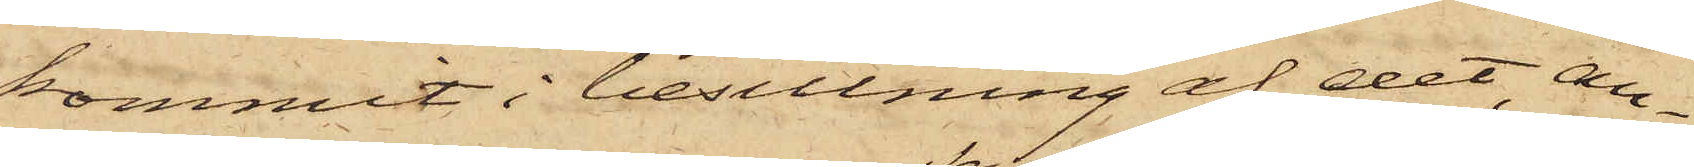kommit i besittning af det, an¬
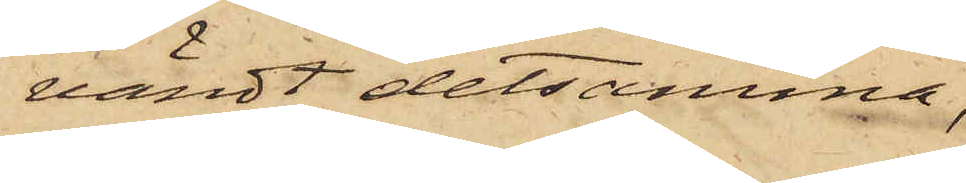vändt detsamma;
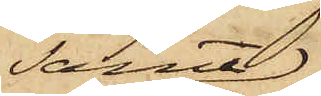samt
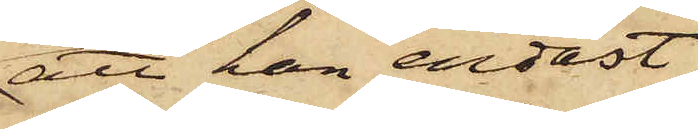att han endast
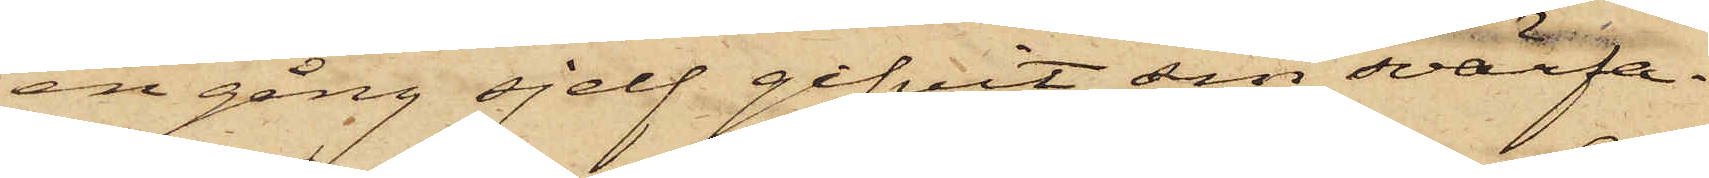en gång sjelf gifvit sin svärfa¬
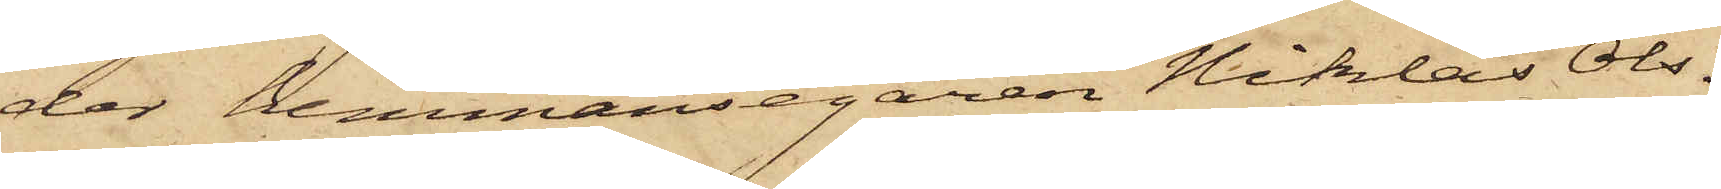der hemmansegaren Niklas Ols¬
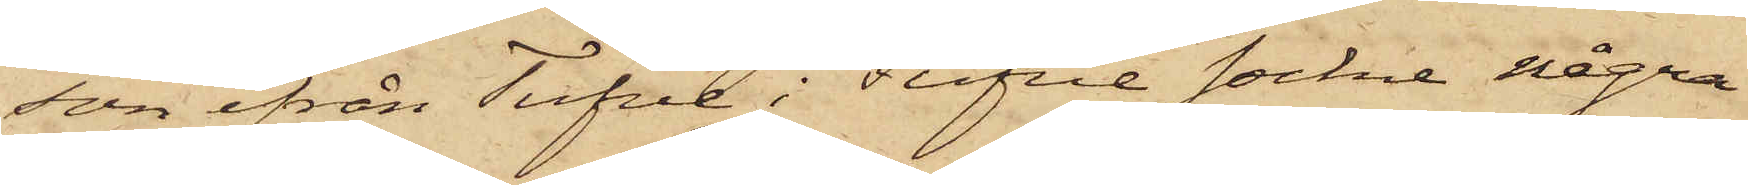son ifrån Tufve i Tufve sockne några
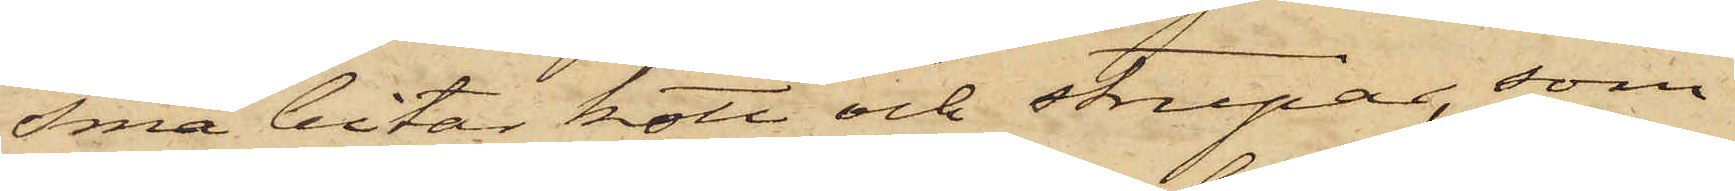små bitar kött och strupar, som
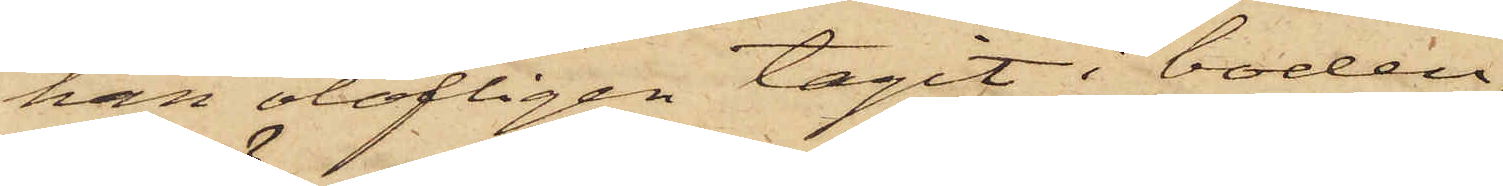han olofligen tagit i boden;
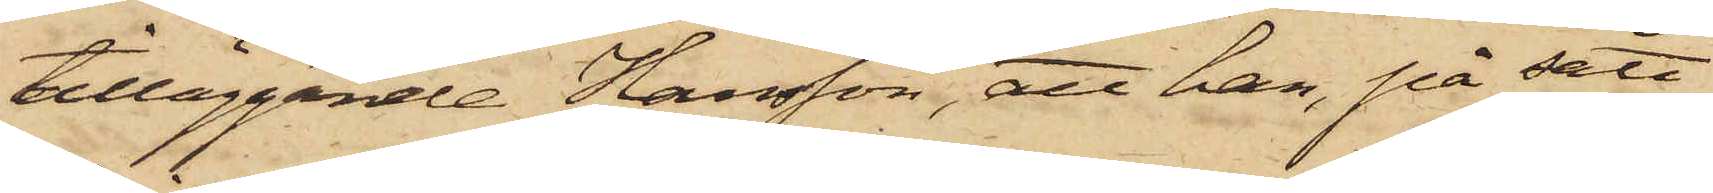tilläggande Hansson, att han, på sätt
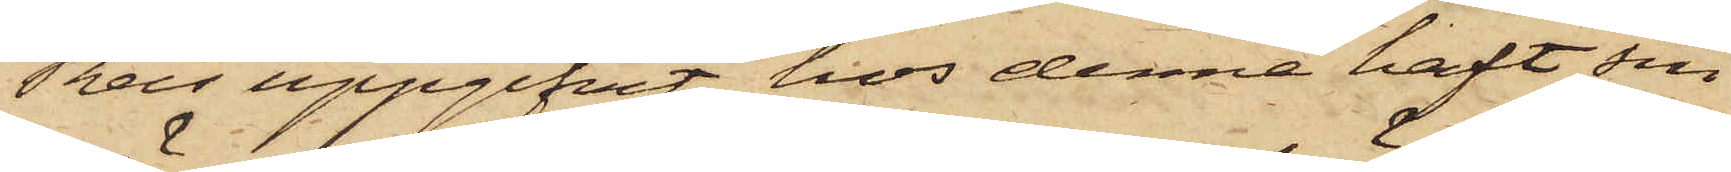Reis uppgifvit, hos denne haft sin
